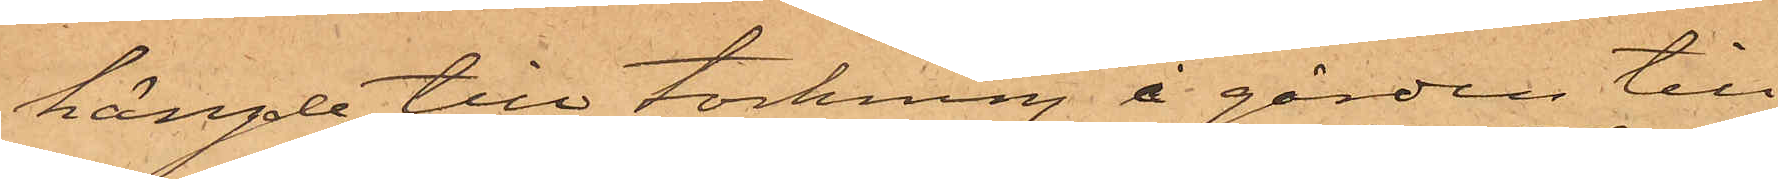hängde till torkning i gården till
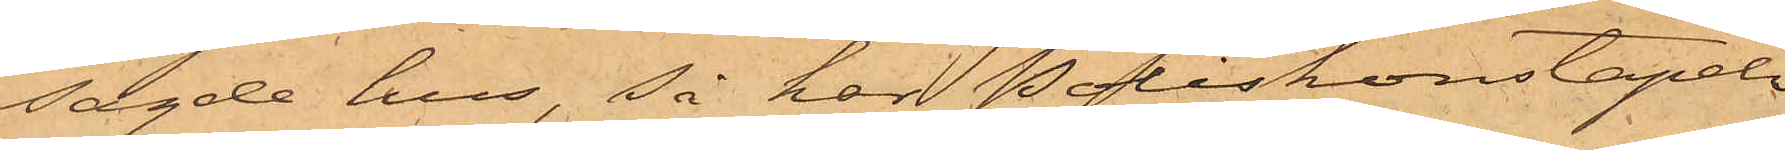sagde hus, Så har Poliskonstapeln
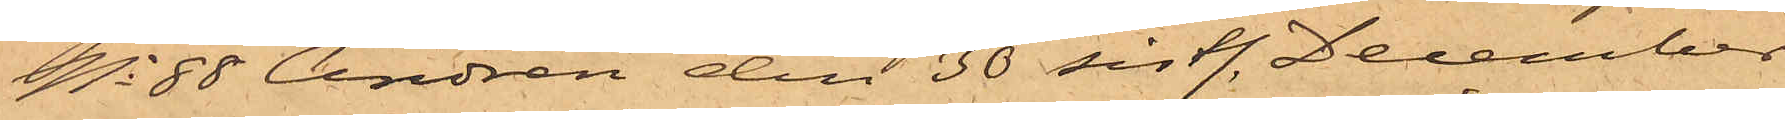No 88 Andrén den 30 sistl. December
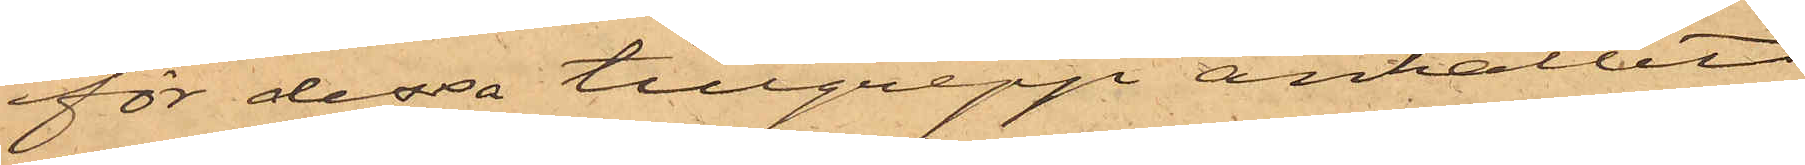för dessa tillgrepp anhållit
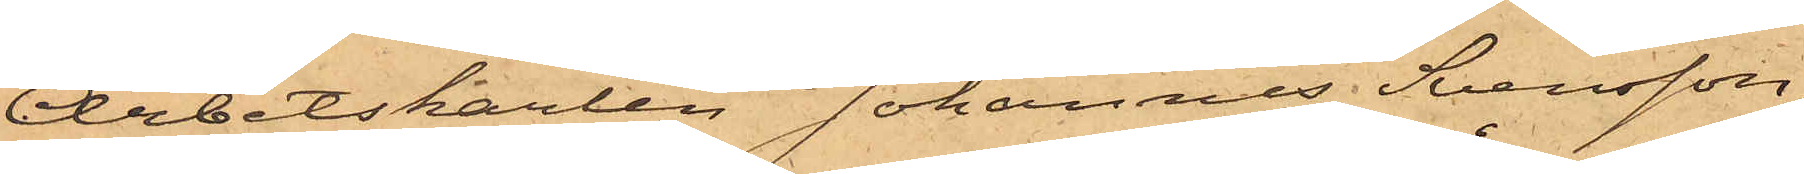Arbetskarlen Johannes Svensson,
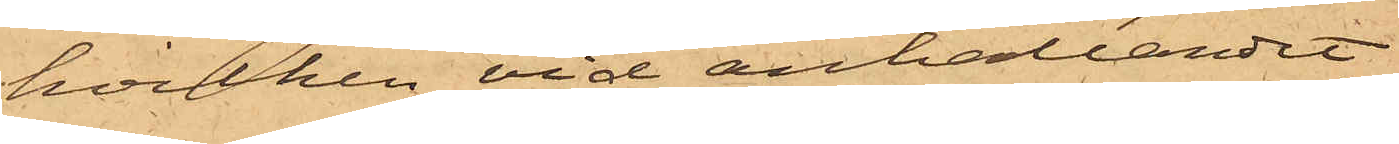hvilken vid anhållandet
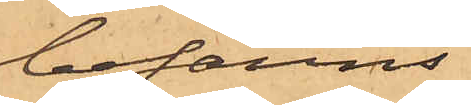befanns
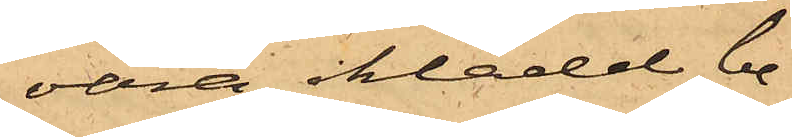vara iklädd be¬
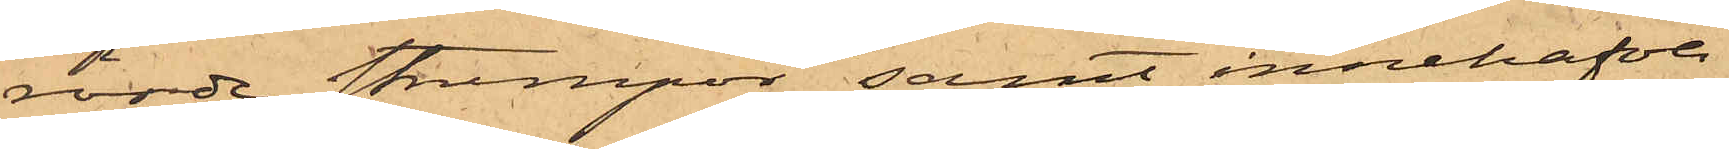rörde strumpor samt innehafva
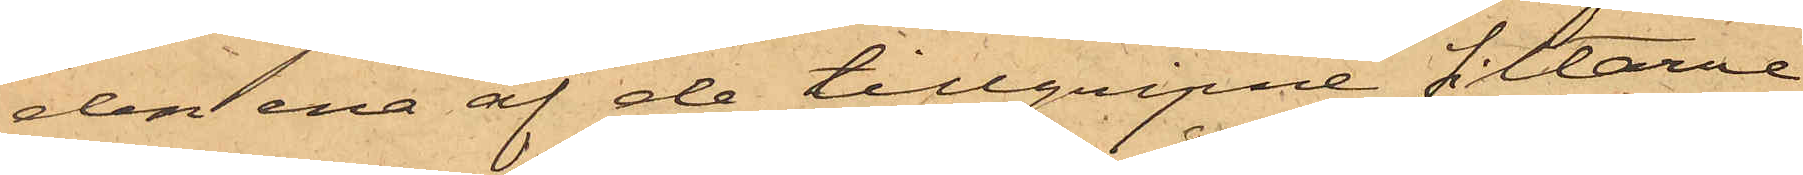den ena af de tillgripne filtarne
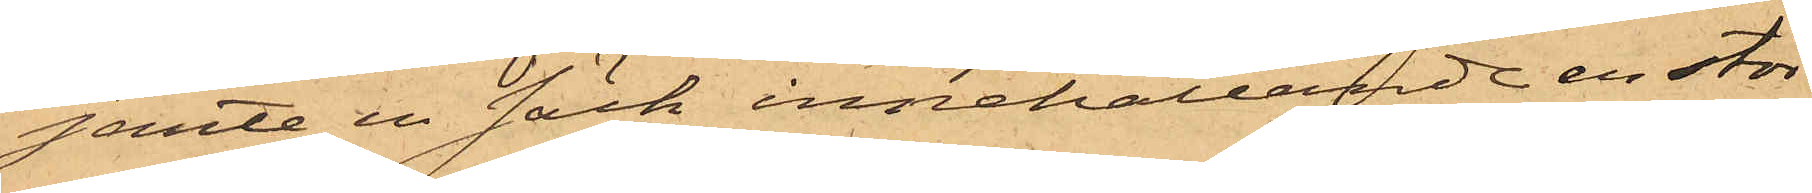jemte en säck innehållande en stör¬
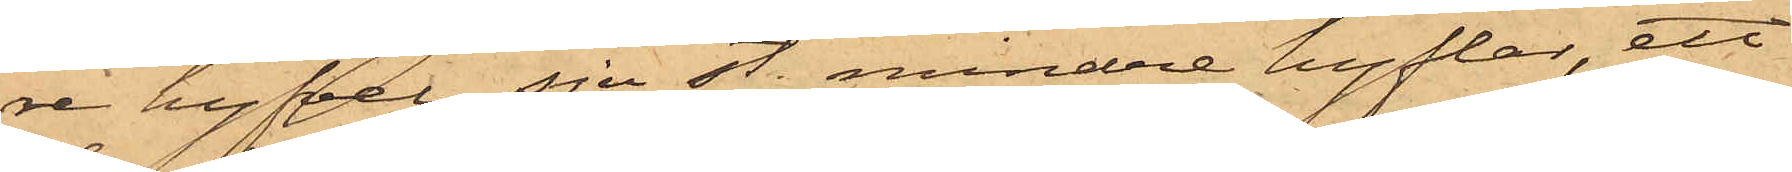re hyfvel, sju st. mindre hyflar, ett
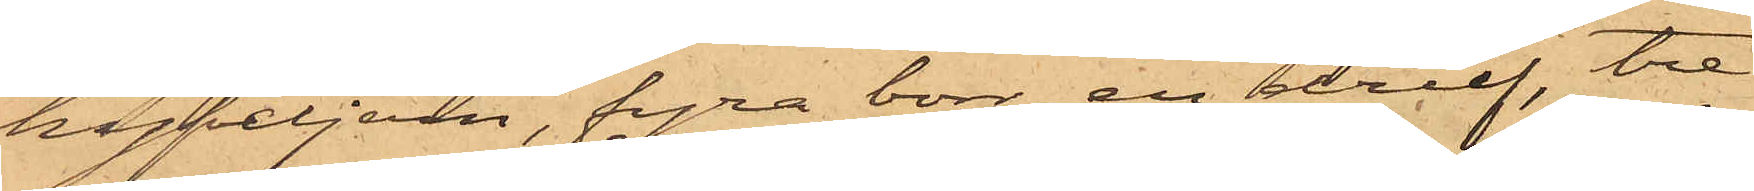hyfveljern, fyra borr, en drelf, tre
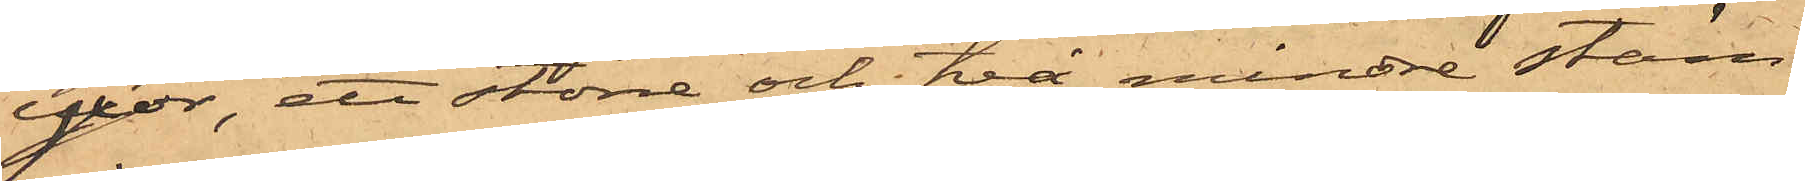yxor, ett större och två mindre stäm¬
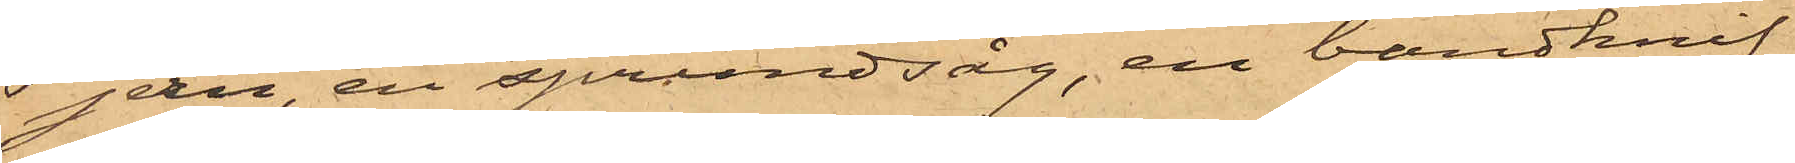jern, en sprundsåg, en bandknif,
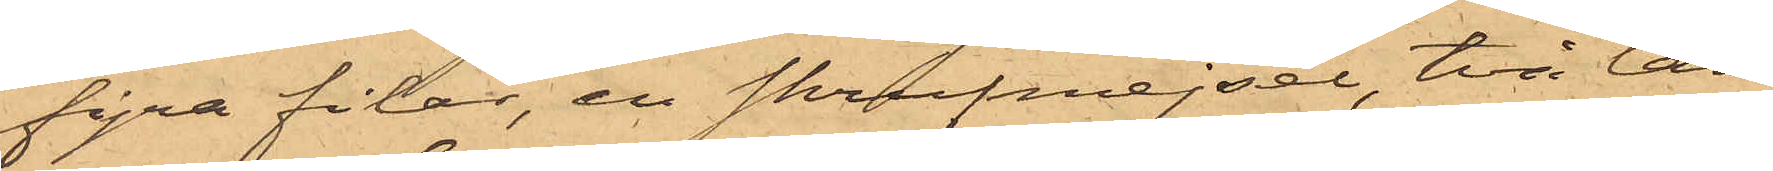fyra filar, en skrufmejsel, två tän¬
